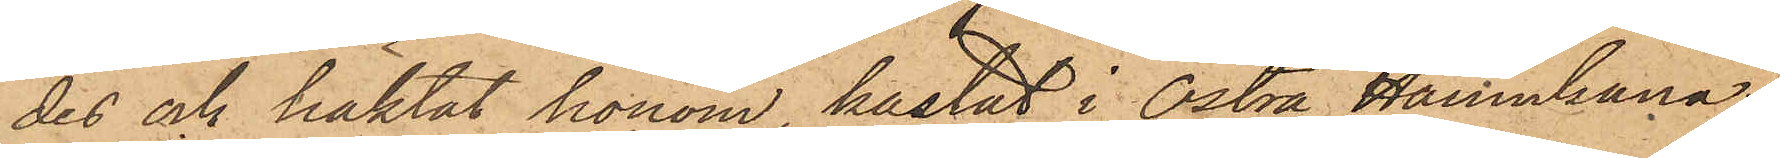des och häktat honom, kastat i Östra Hamnkana¬
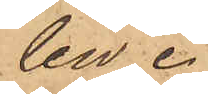len.
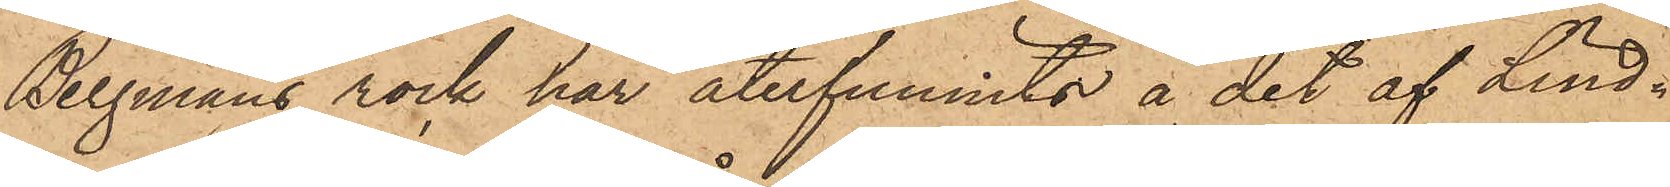Bergmans rock har återfunnits å det af Lind¬
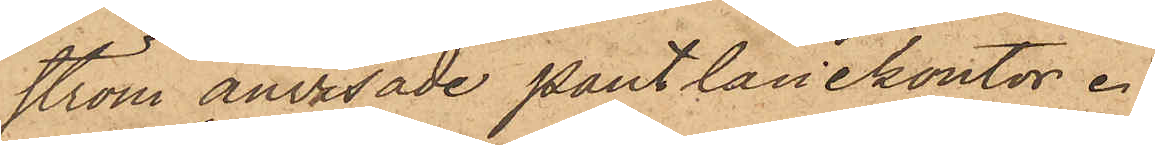ström anvisade pantlånekontor.
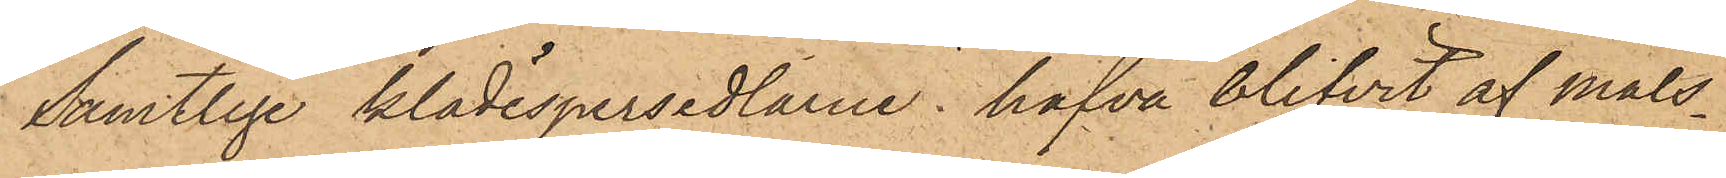Samtlige klädespersedlarne hafva blifvit af måls¬
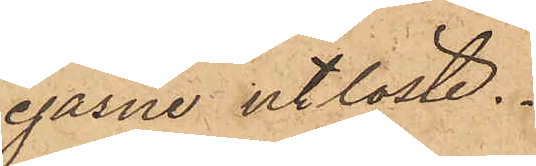egarne utlöste.
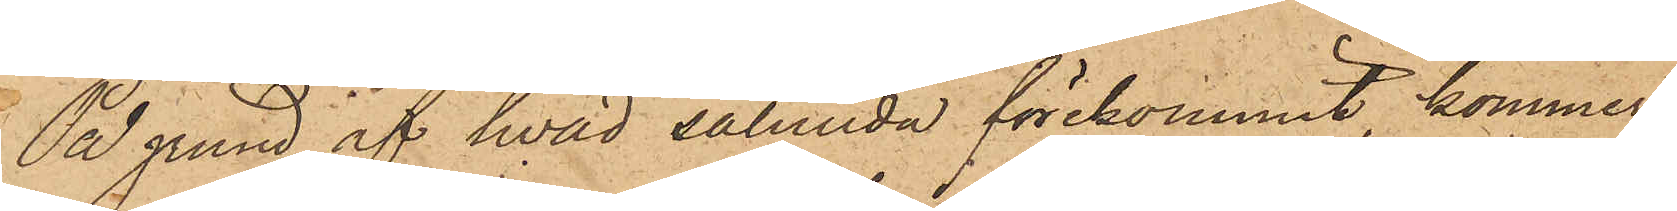På grund af hvad sålunda förekommit, kommer
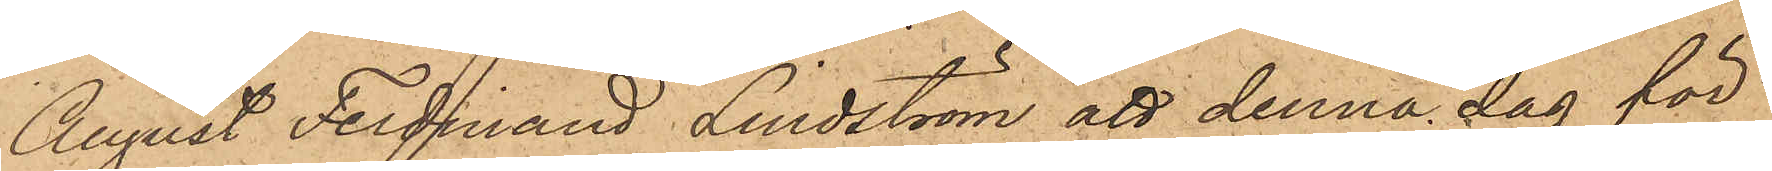August Ferdinand Lindström att denna dag för
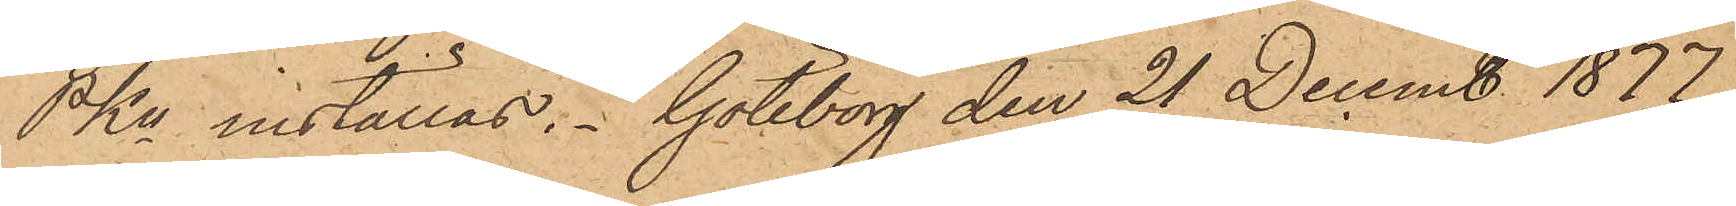PKn inställas. Göteborg den 21 Decemb 1877
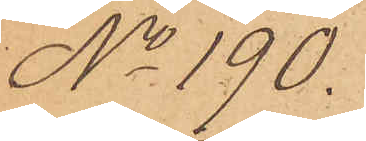No 190.
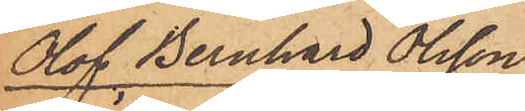Olof Bernhard Olsson
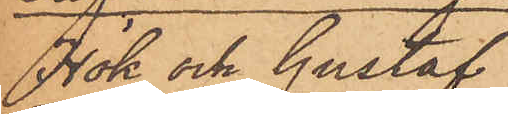Hök och Gustaf
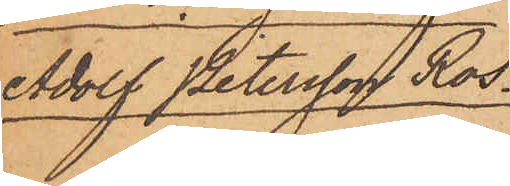Adolf Petersson Ros.
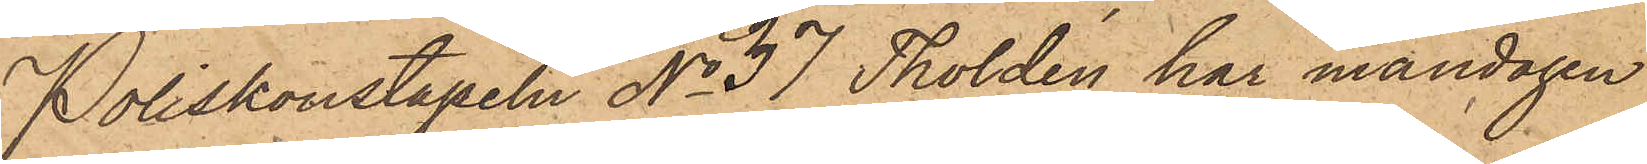Poliskonstapeln No 37 Tholdén har måndagen
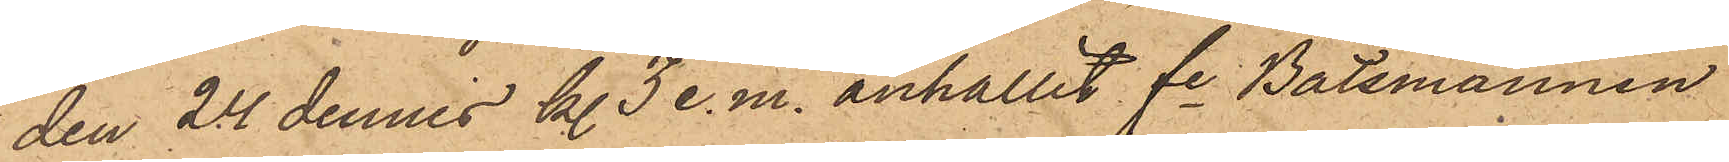den 24 dennes kl. 3 e. m. anhållit fe Båtsmannen
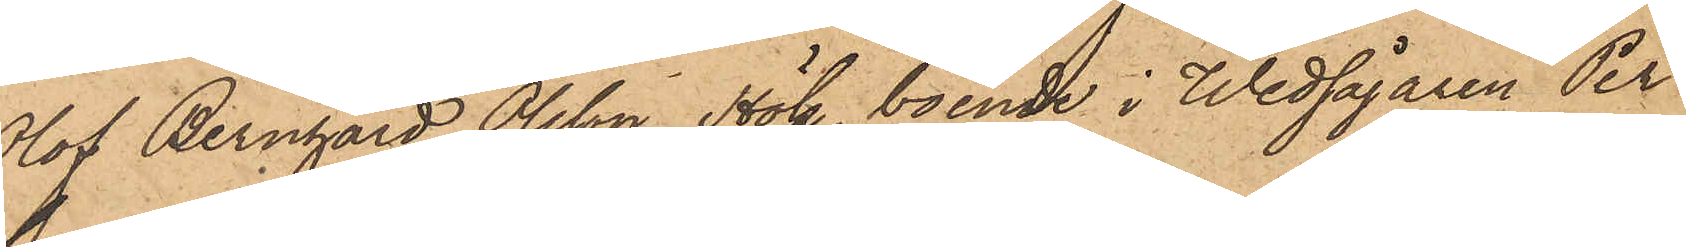Olof Bernhard Olsson Hök, boende i Wedsågaren Per
